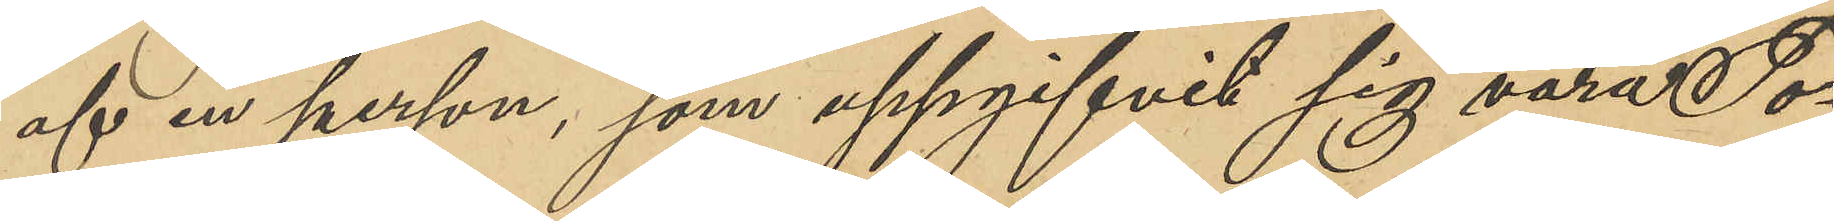af en person, som uppgifvit sig vara To¬
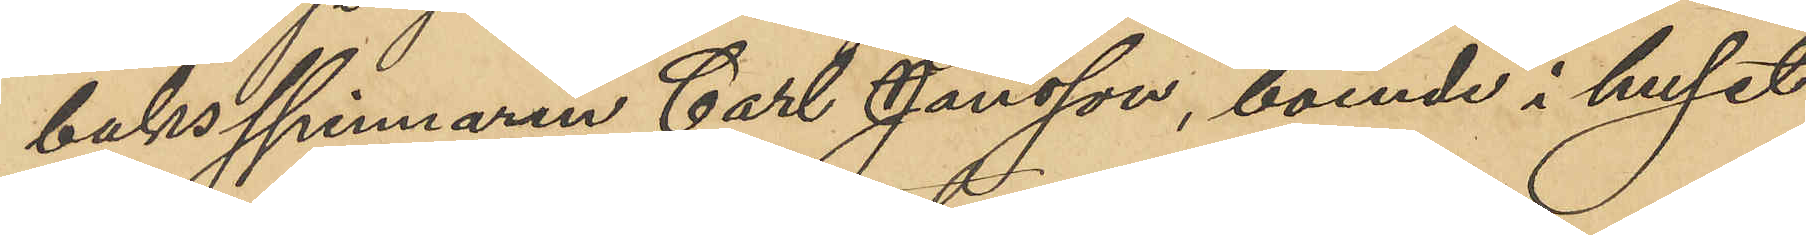bakspinnaren Carl Jansson, boende i huset
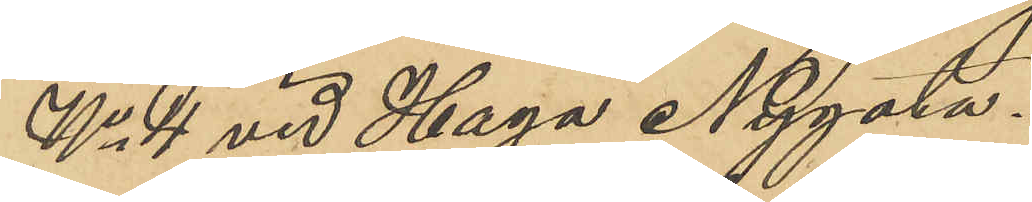No 4 vid Haga Nygata.
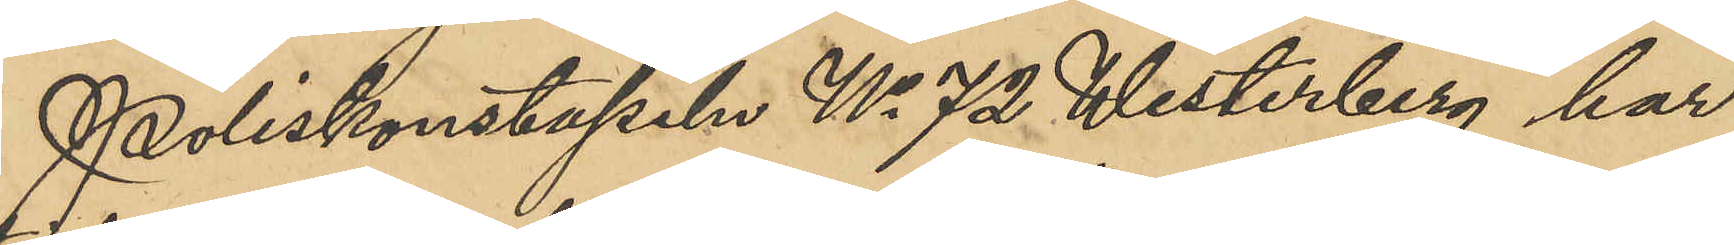Poliskonstapeln No 72 Westerberg har 
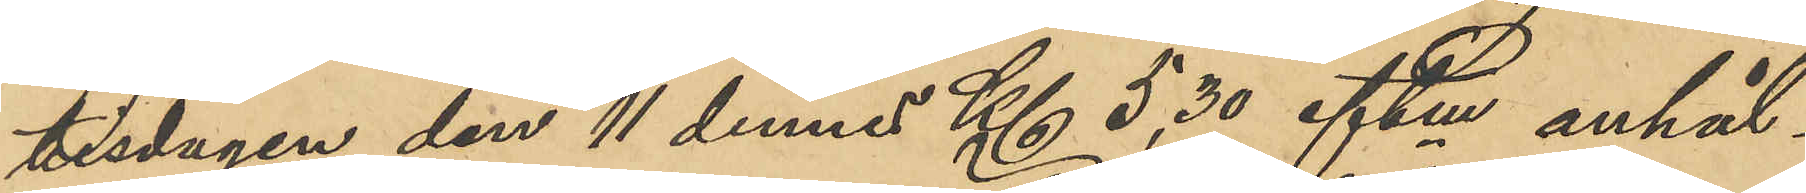tisdagen den 11 dennes Kl 5,30 eftm anhål¬
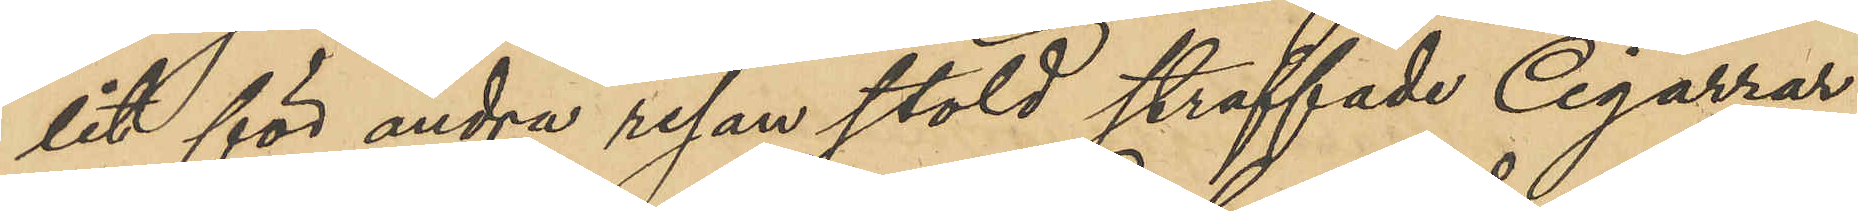lit för andra resan stöld straffade Cigarrar¬
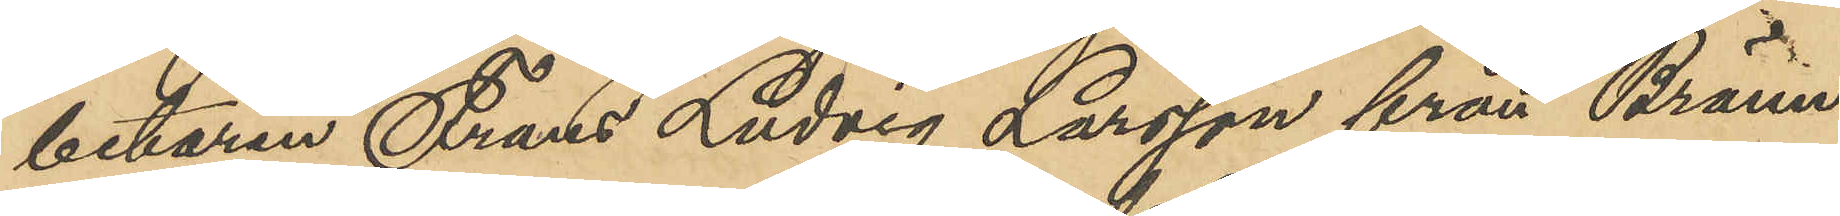betaren Frans Ludvig Larsson från Bränn¬
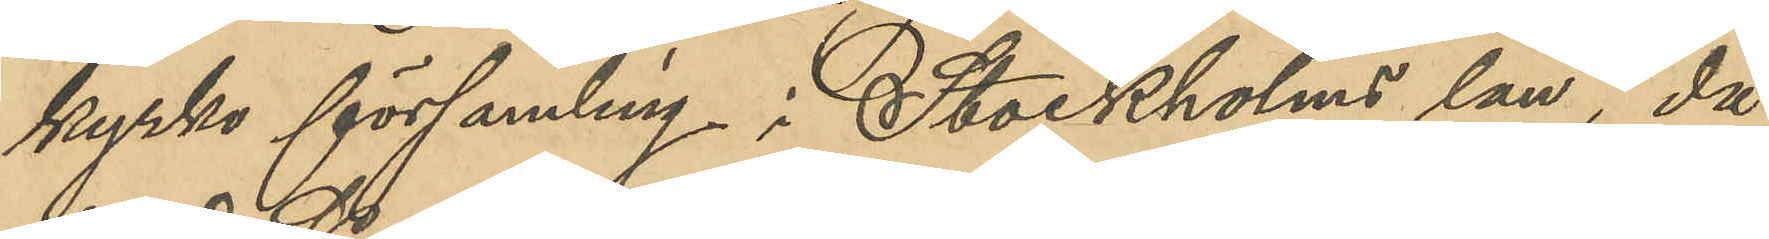kyrka församling i Stockholms län, då
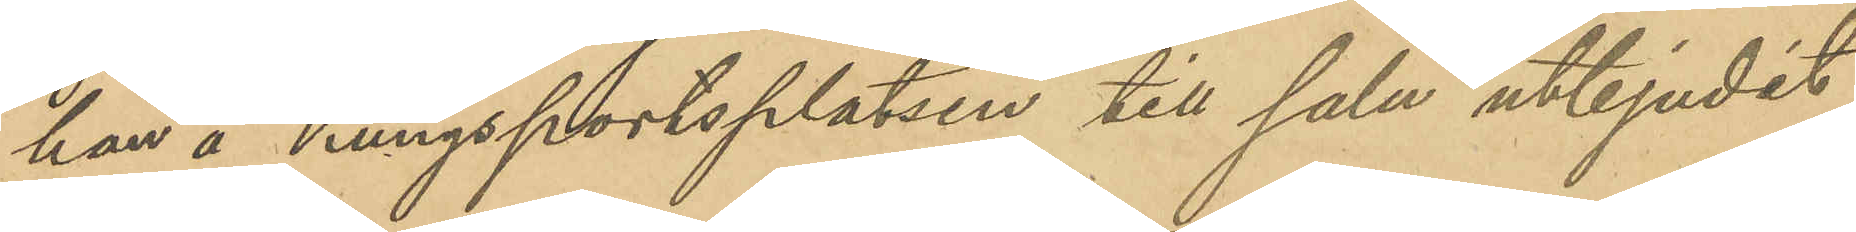han å Kungsportplatsen till salu utbjudit
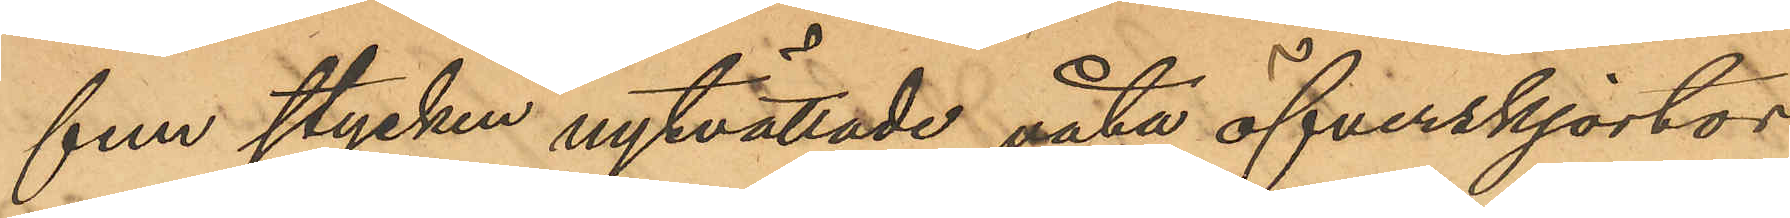fem stycken nytvättade våta öfverskjortor,
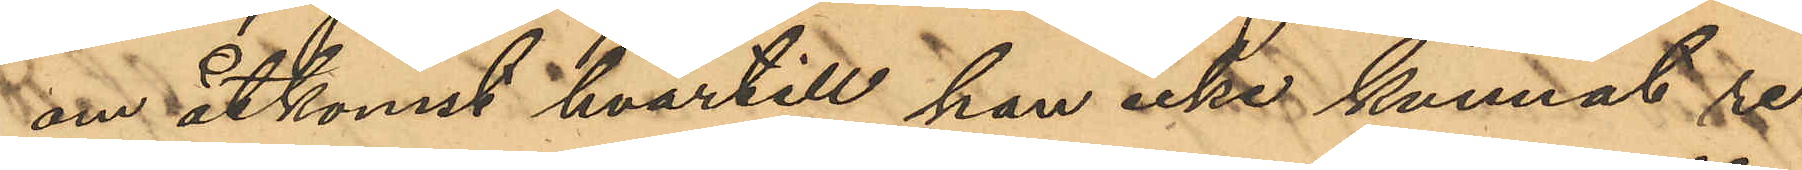om åtkomst hvartill han icke kunnat re¬
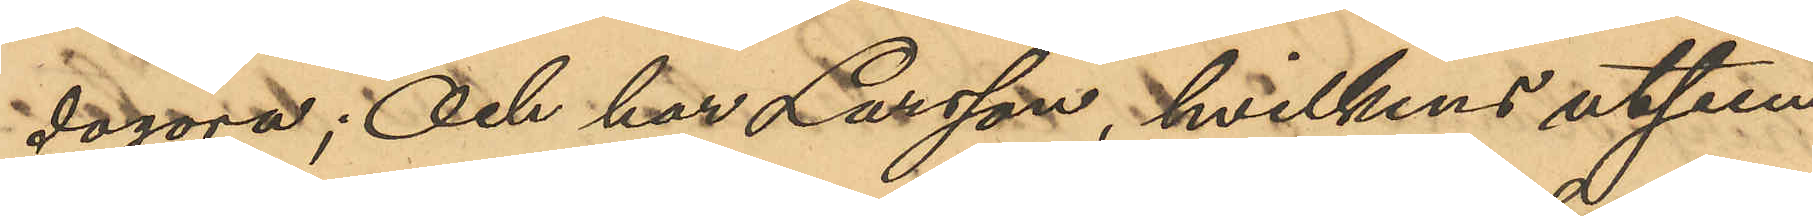dogöra; Och har Larsson, hvilken utseen¬
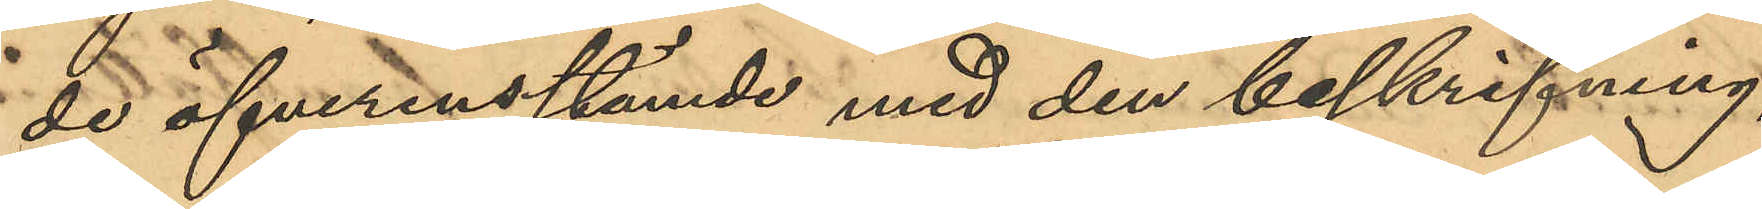de öfverensstämde med den beskrifning,
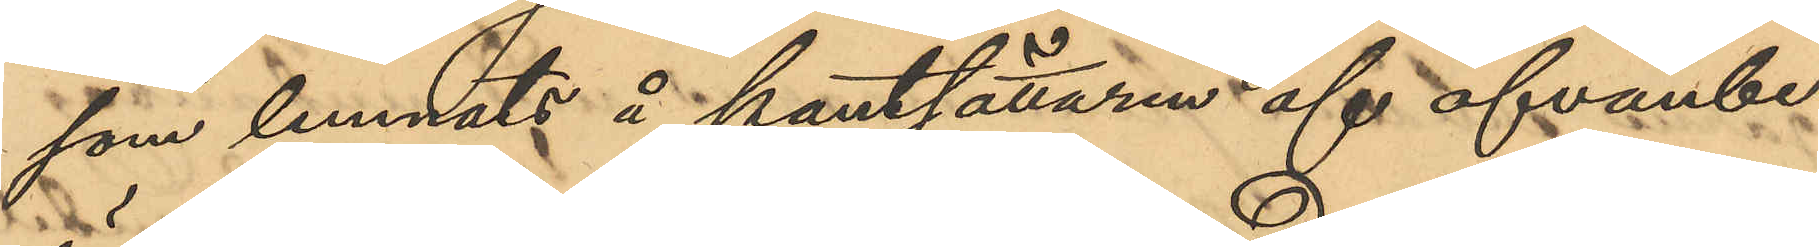som lemnats å pantsättaren af ofvanbe¬
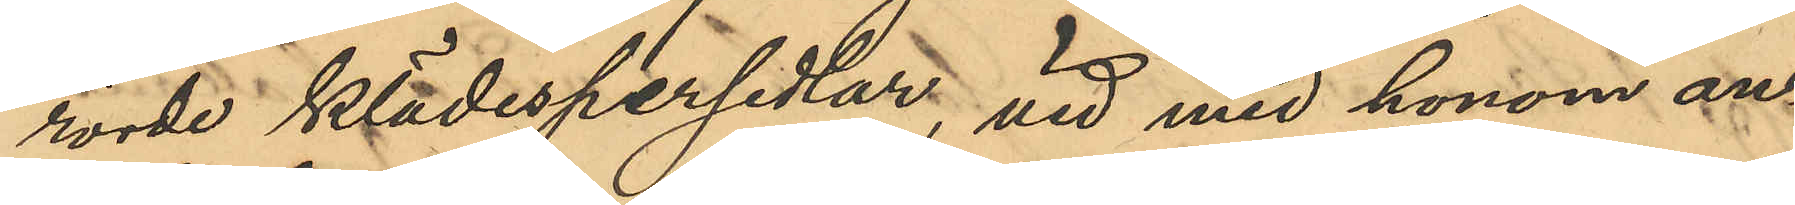rörde klädespersedlar, vid med honom an¬
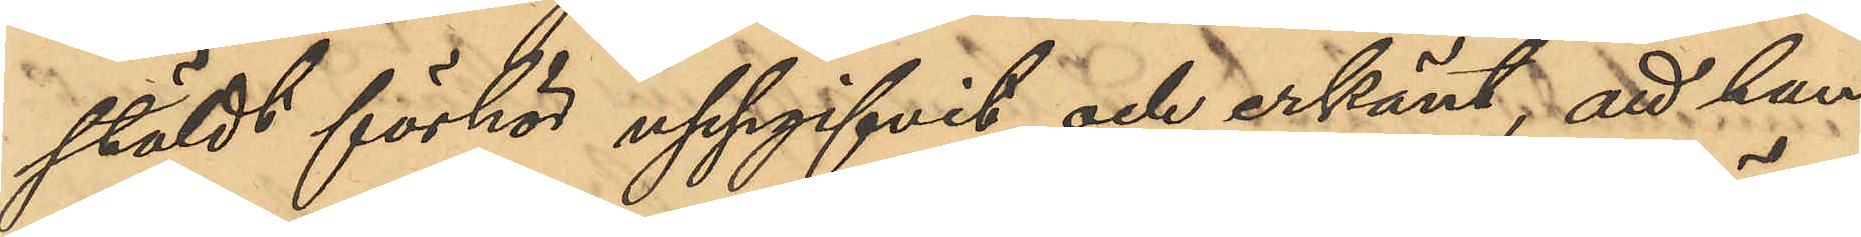stäldt förhör uppgifvit och erkänt, att han
